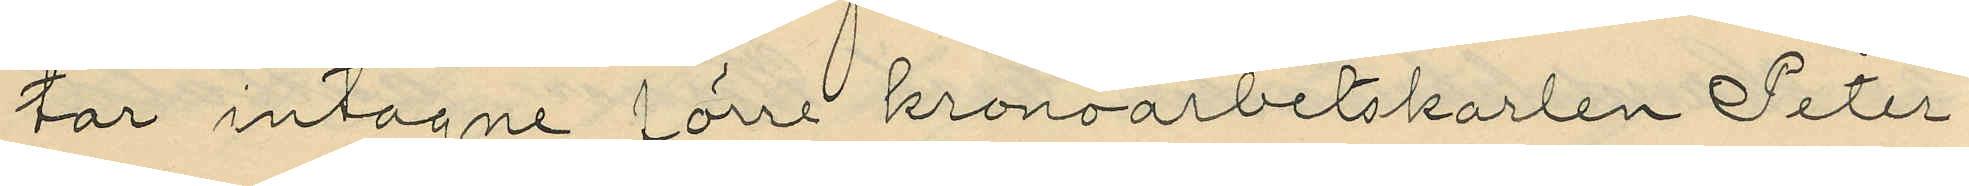tar intagne förre kronoarbetskarlen Peter
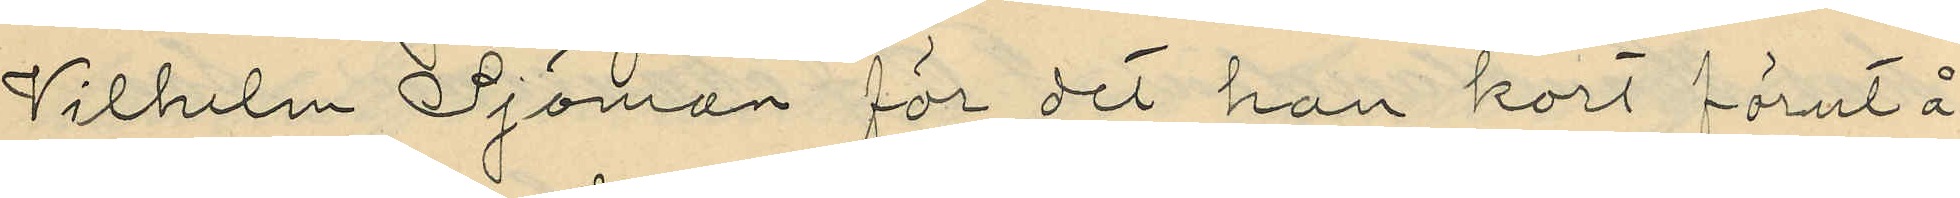Wilhelm Sjöman för det han kort förut å
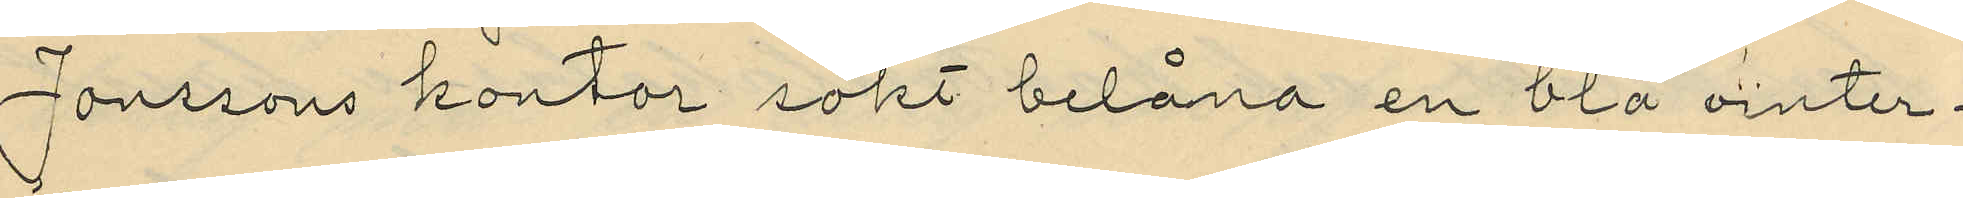Jonssons kontor sökt belåna en blå vinter¬
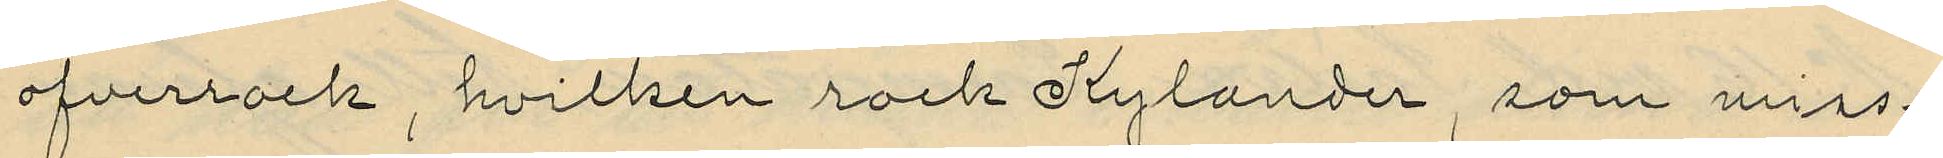öfverrock, hvilken rock Kylander, som miss¬
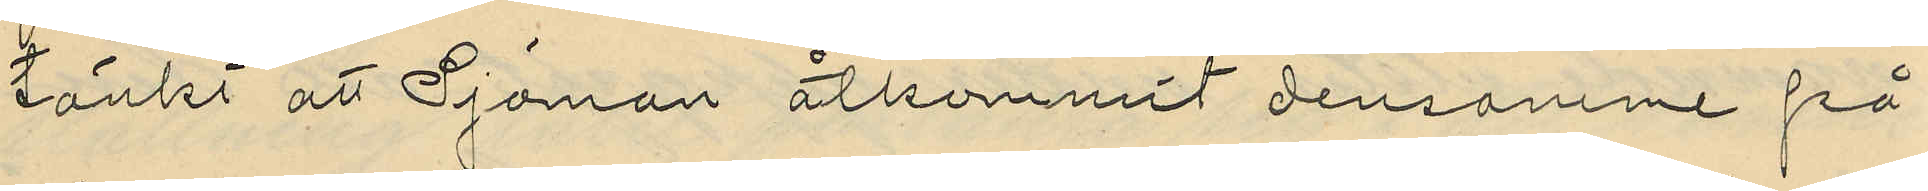tänkt att Sjöman åtkommit densamme på
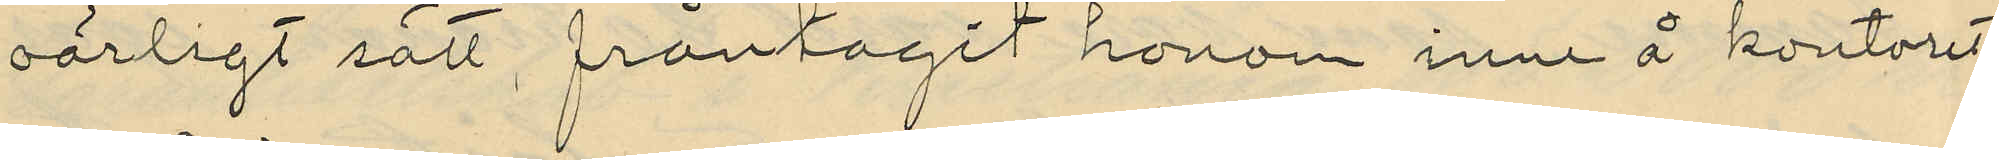oärligt sätt fråntagit honom inne å kontoret,
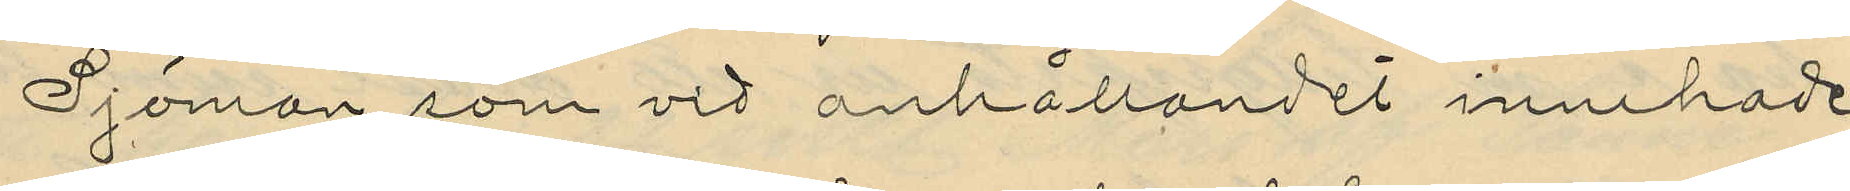Sjöman som vid anhållandet innehade
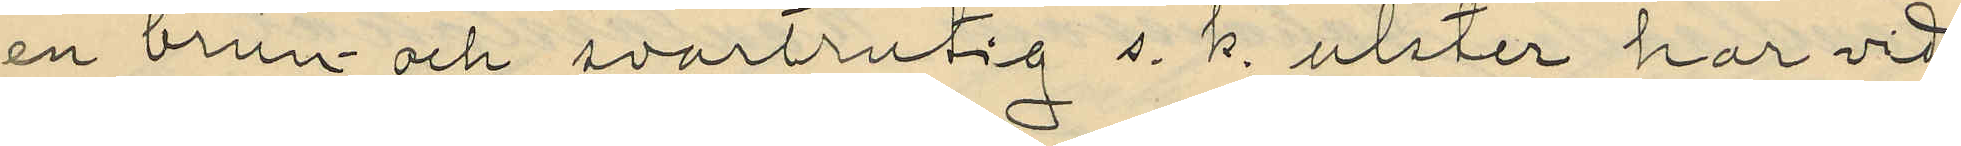en brun och svartrutig s. k. ulster har vid
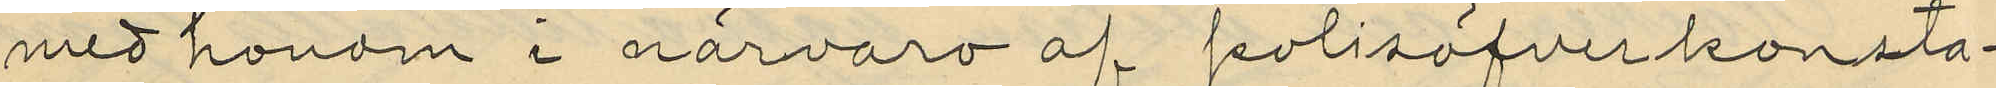med honom i närvaro af polisöfverkonsta¬
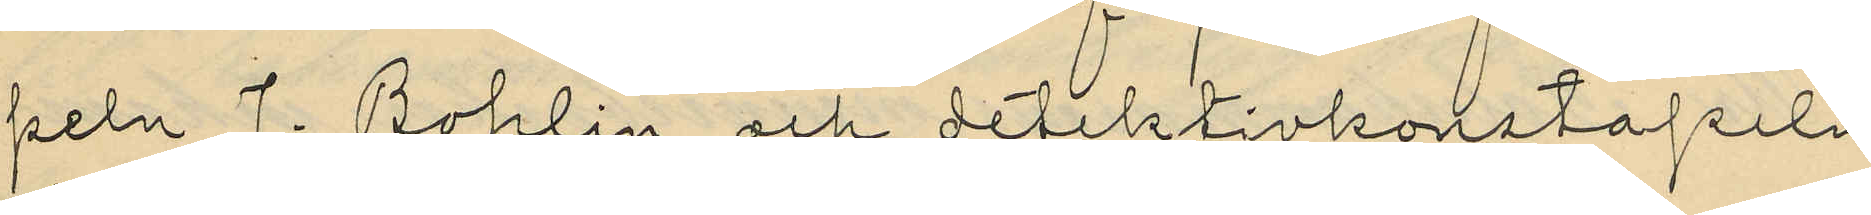peln J. Bohlin och detektivkonstapeln
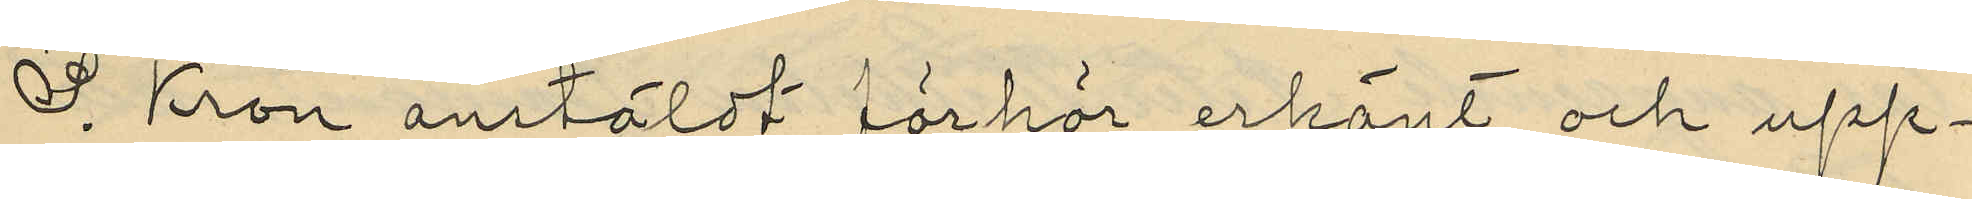S. Kron anstäldt förhör erkänt och upp¬
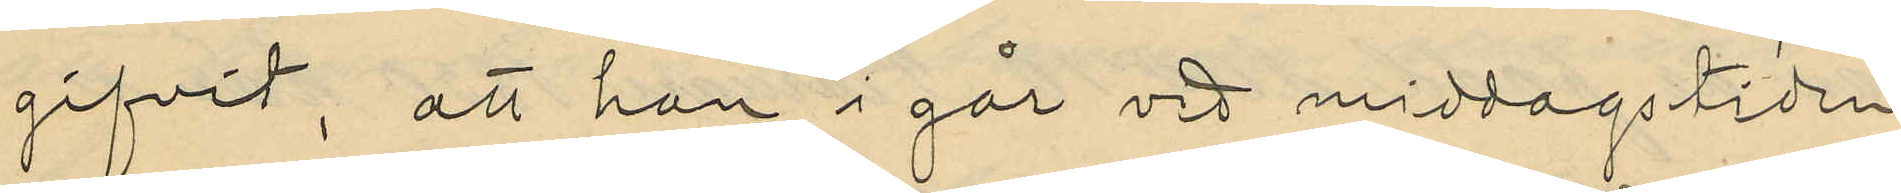gifvit, att han i går vid middagstiden
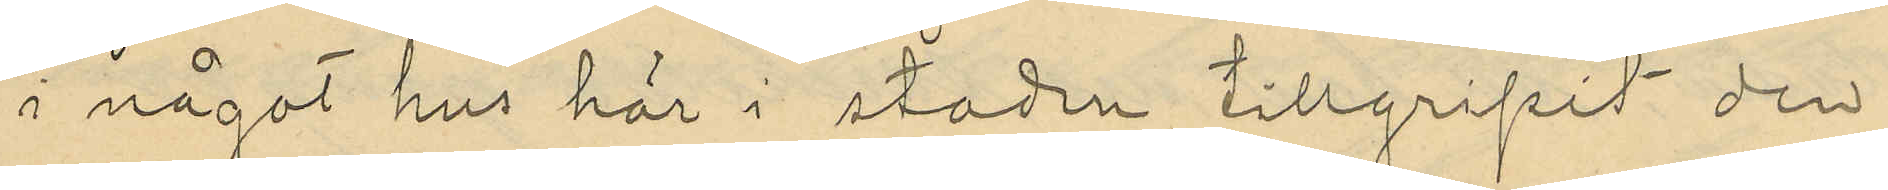i något hus här i staden tillgripit den
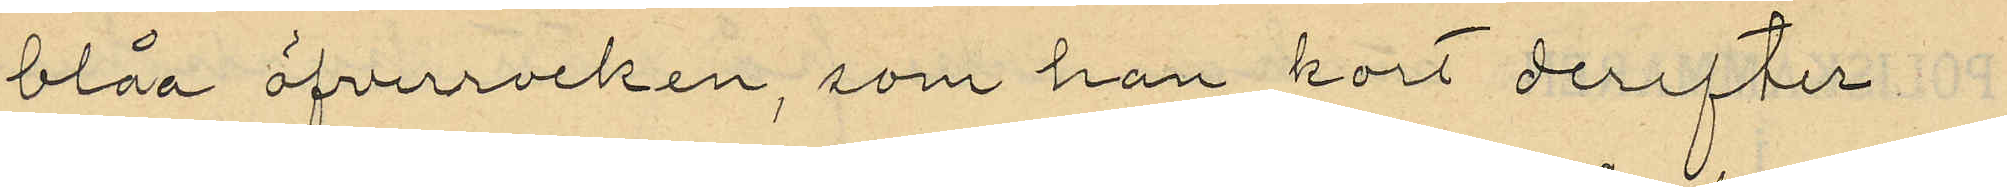blåa öfverrocken, som han kort derefter
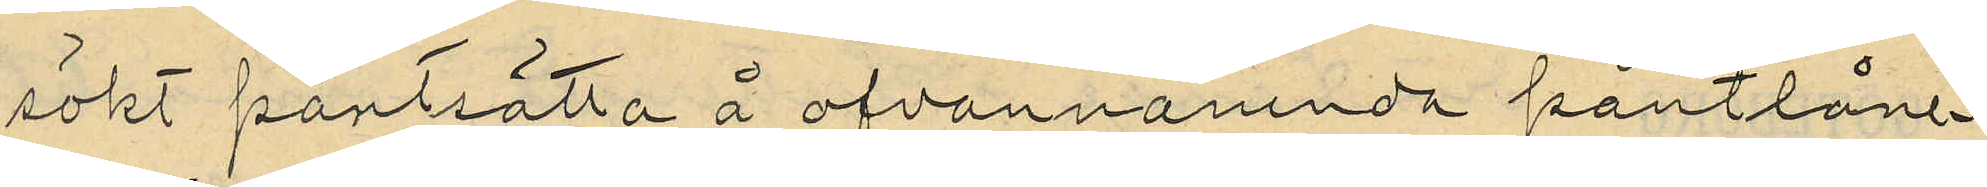sökt pantsatta å ofvannämnda pantlåne¬
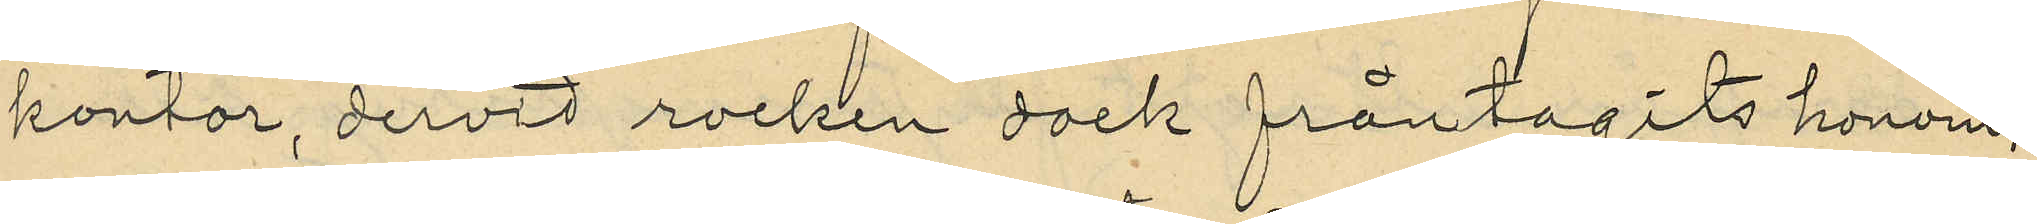kontor dervid rocken dock fråntagits honom;
